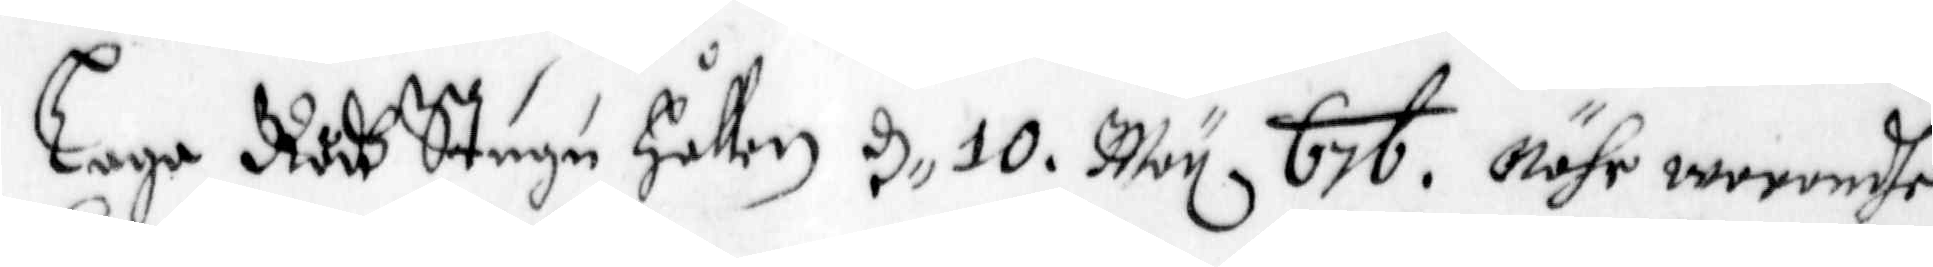Lage Rådh Stugu Hållen, d. 10 May 676. Nähr worendhe
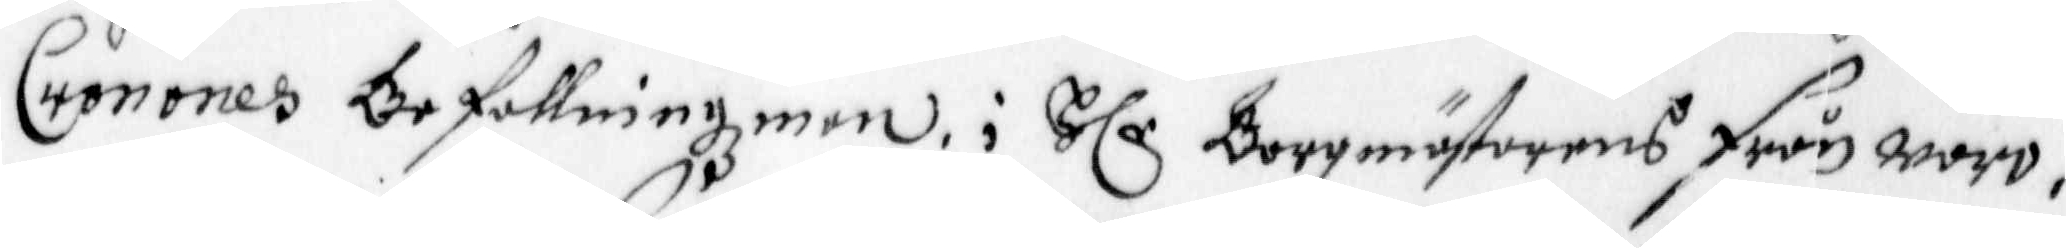Cronones Befallningzman i Hlr Borgmästarens från woro,
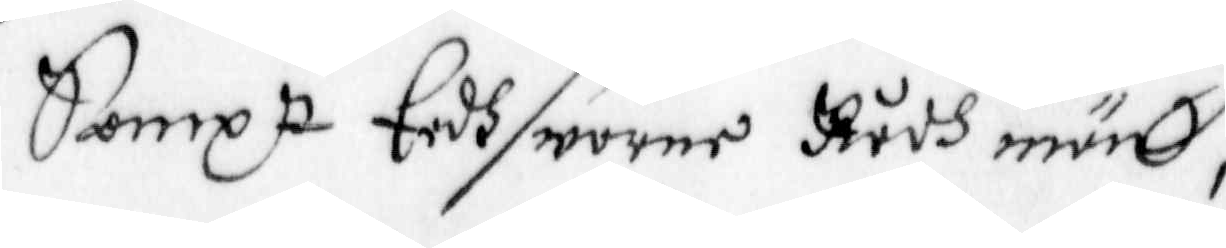Sampt Eedhsworne Rådh män,
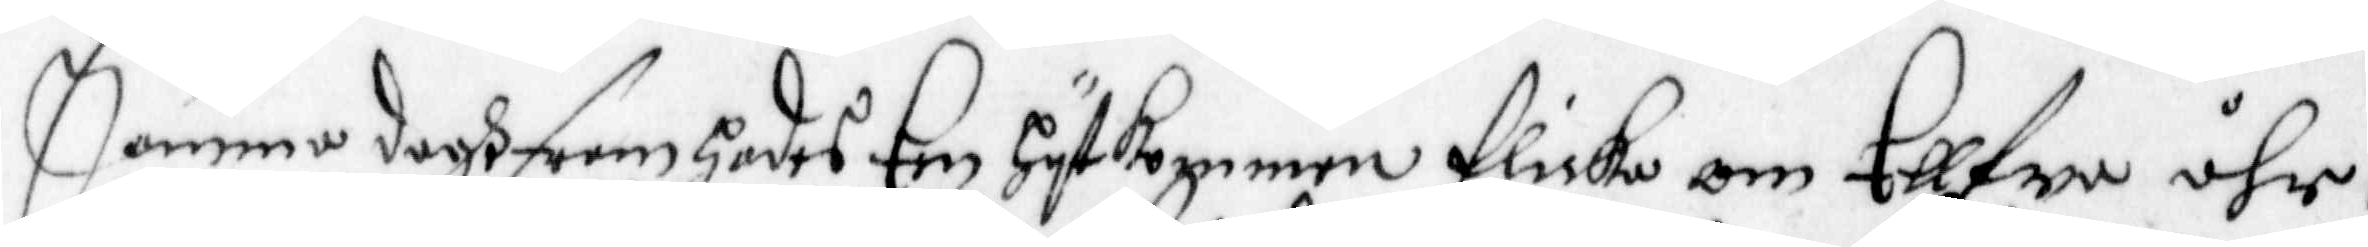Samma dagh fram hades Een hytkommen flicka om Ellfwa åhr,
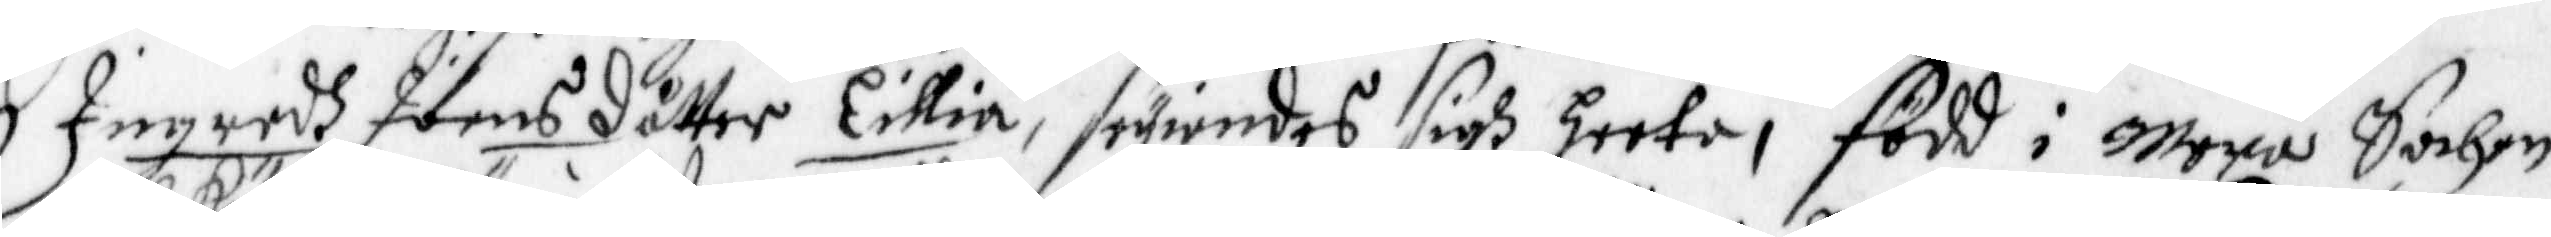Ingredh Joens dåtter Eillia, seyandes sigh heeta, född i Mora Sochen
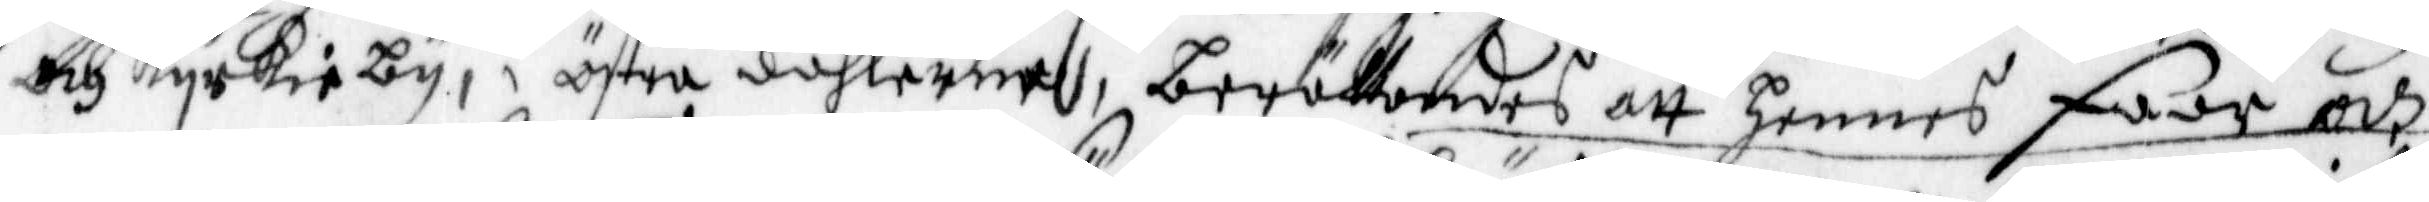och Kyrkieby, i östre dahlerne, berättandes att hennes fadr och
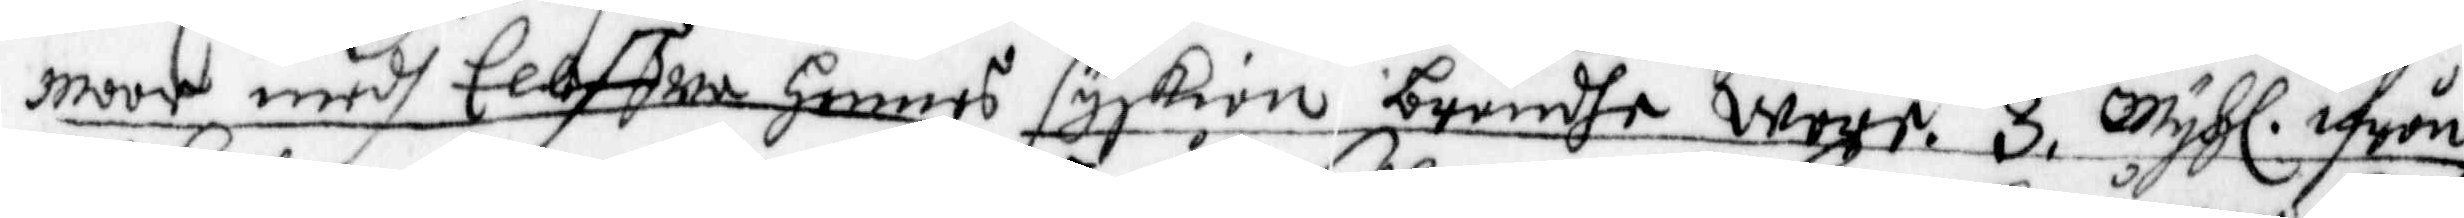moor medh Eelffwa hennes syskion brändhe Wore. 3. myhl ifrån
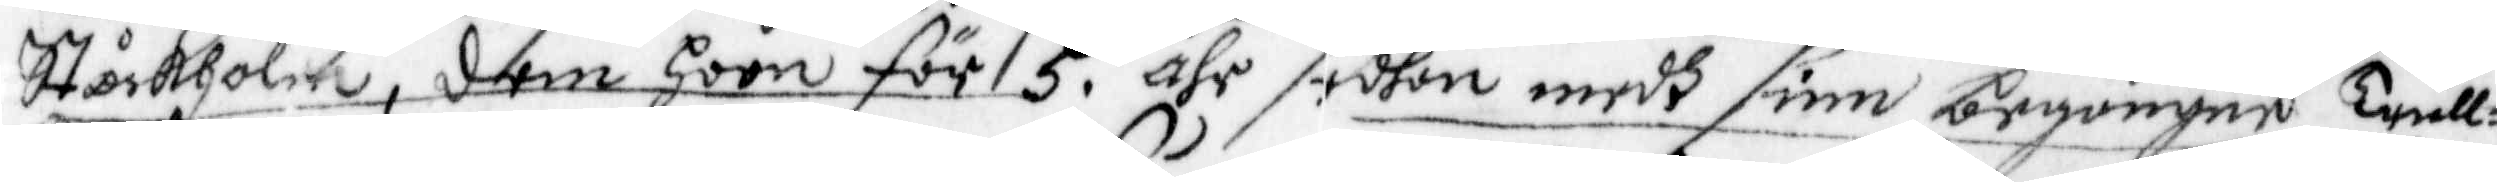Stockholm, dem hoon för 5 åhr sedhan medh sine begångne Trull¬
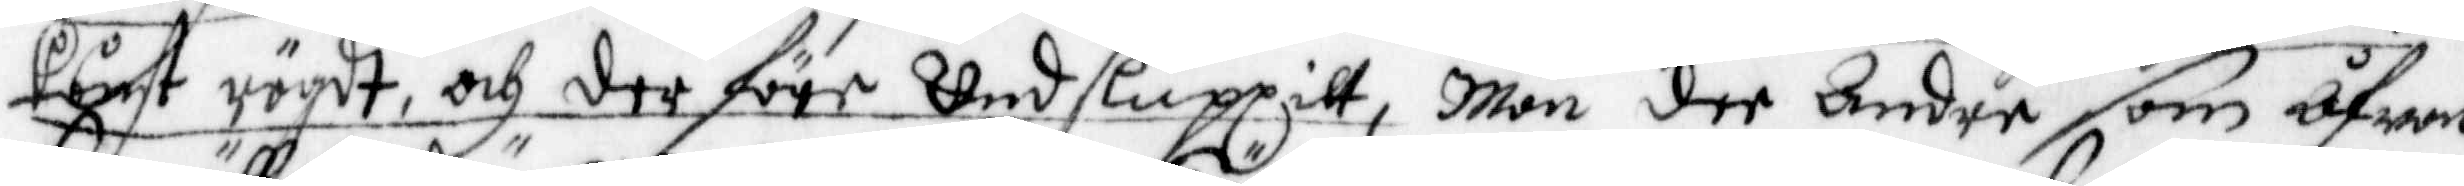konst rögdt, och der före Undsluppitt, Män dee andre som åfwan
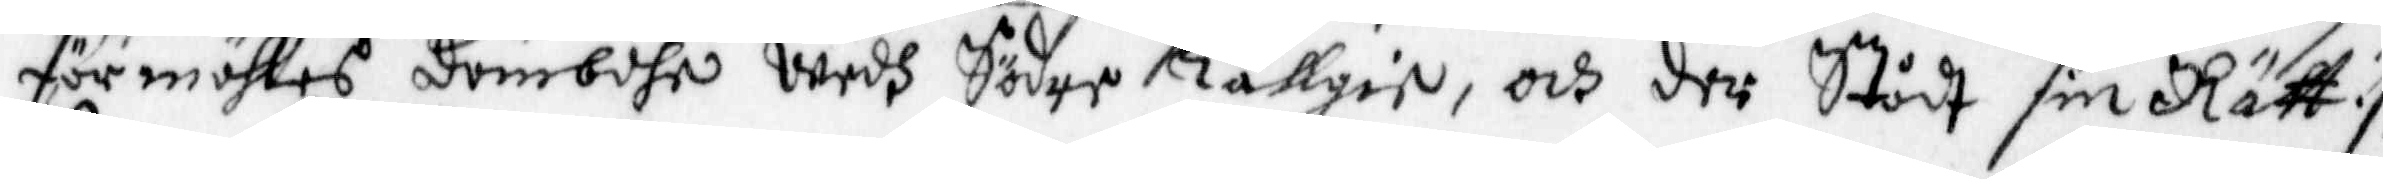förmähles dömbdhe wedh Söder Tällgie, och der Stådt sin Rätt :/
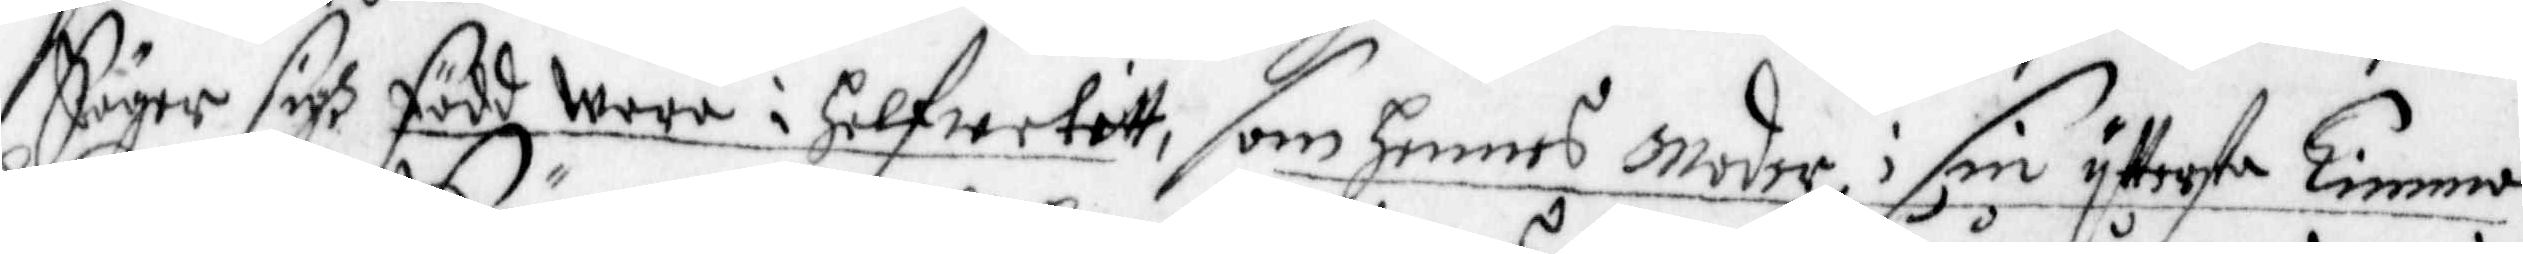Säger sigh född wara i Helfwetitt, som hennes Moder i sin yttersta Timma
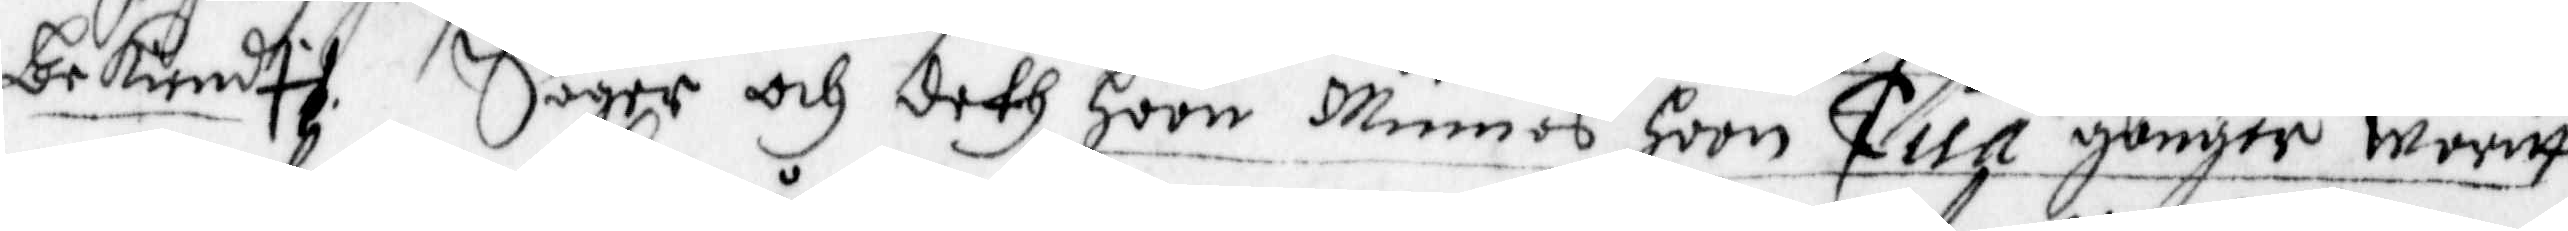bekiendt. Säger och deth hon Minnes hoon Tuå gånger waritt
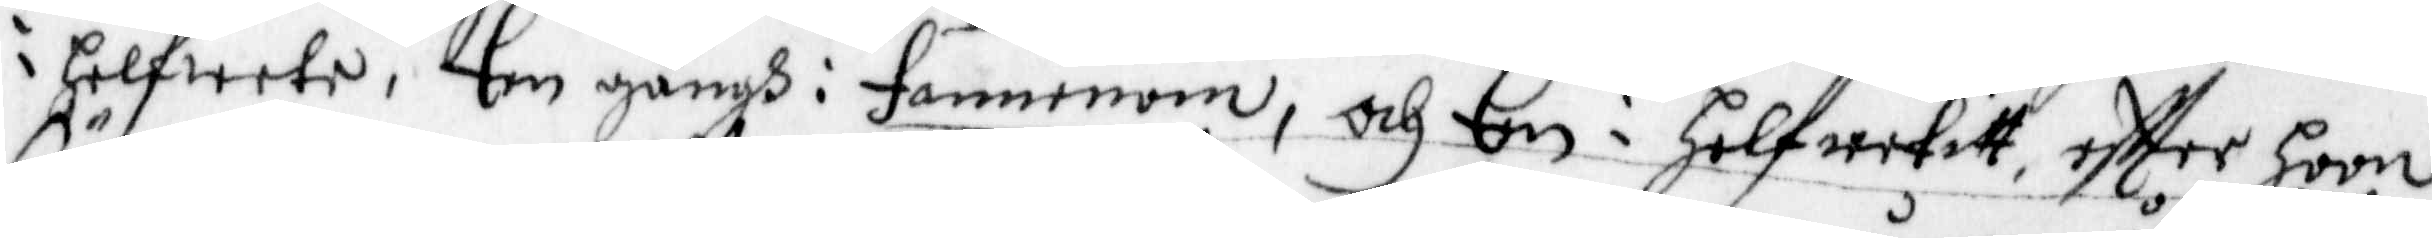i Helwete, Een gångh i fannenom, och Een i Helwetitt, effter hoon
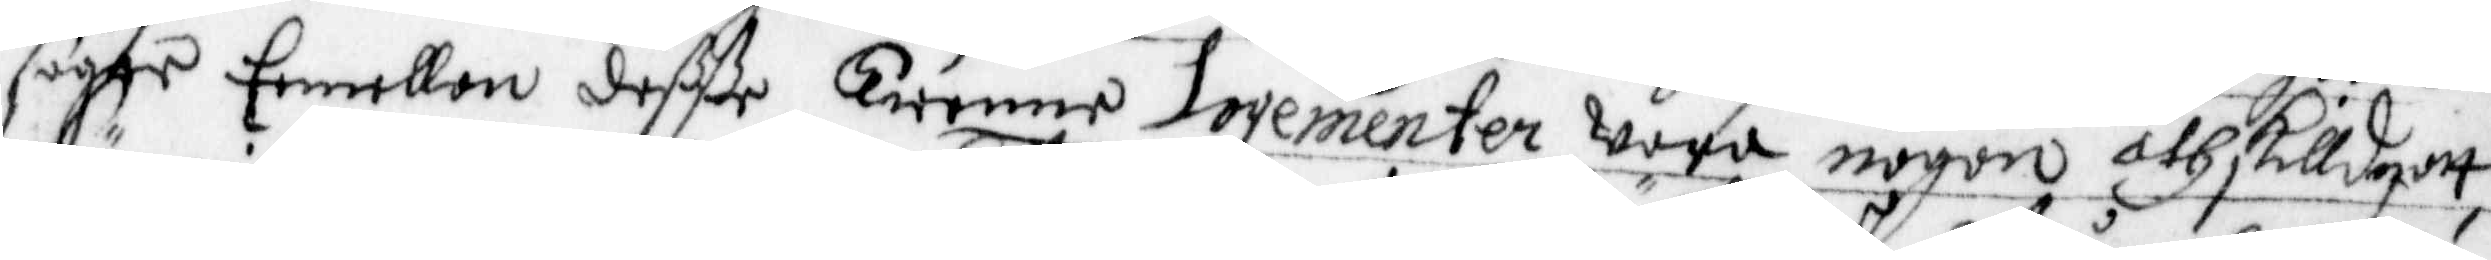säger Eemellan deßße Twenne Logementeer wara någon åthskilldnatt
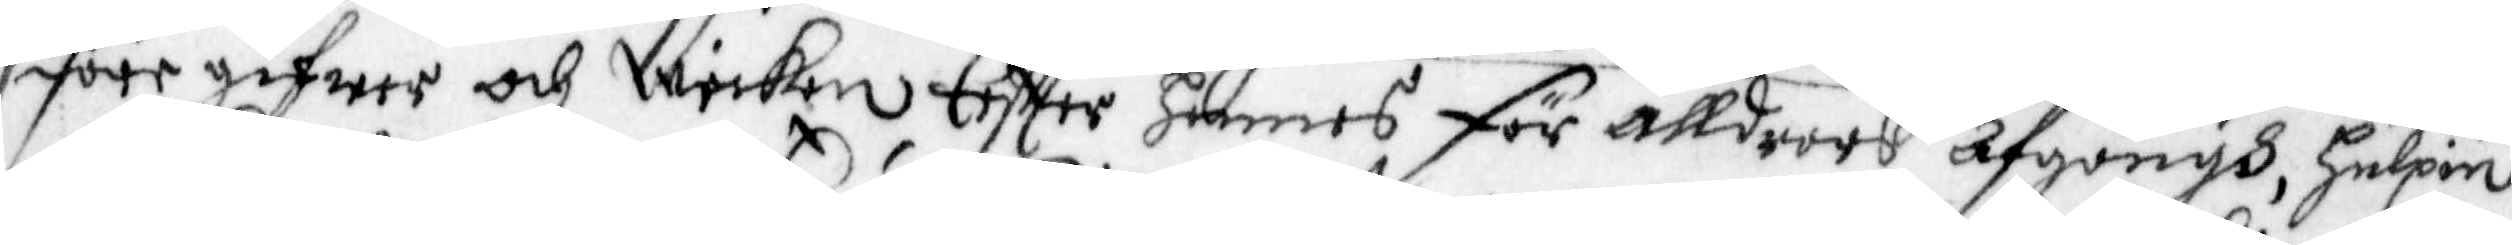före gifwer och Wicken Effter hennes för älldrars Afgångh, Helpin
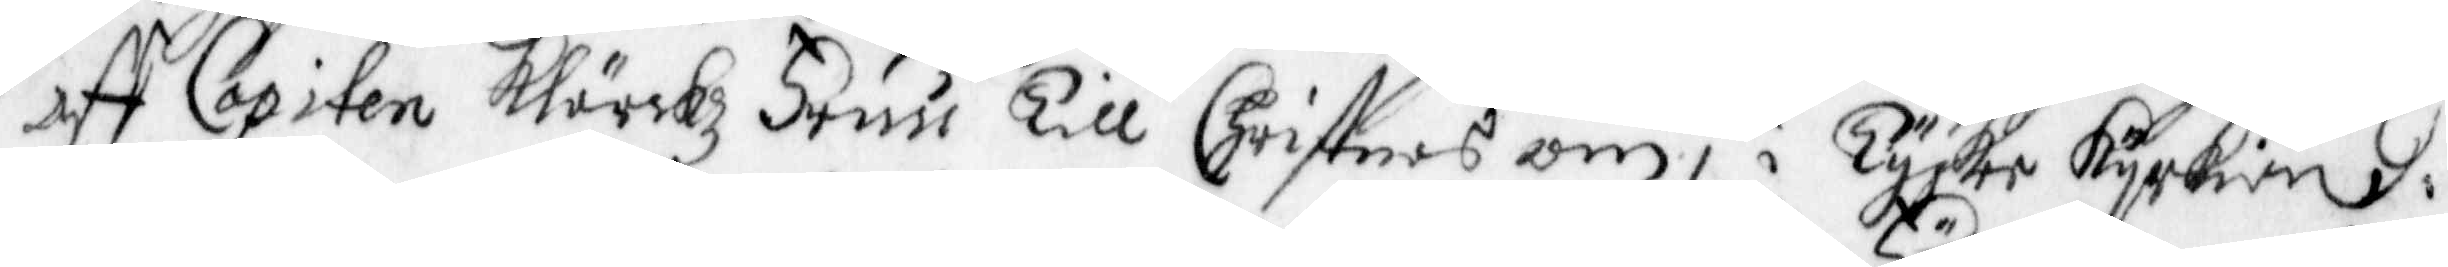aff Capiten Kärckz Fruu till Christnes om, i Tyske kyrkian i
